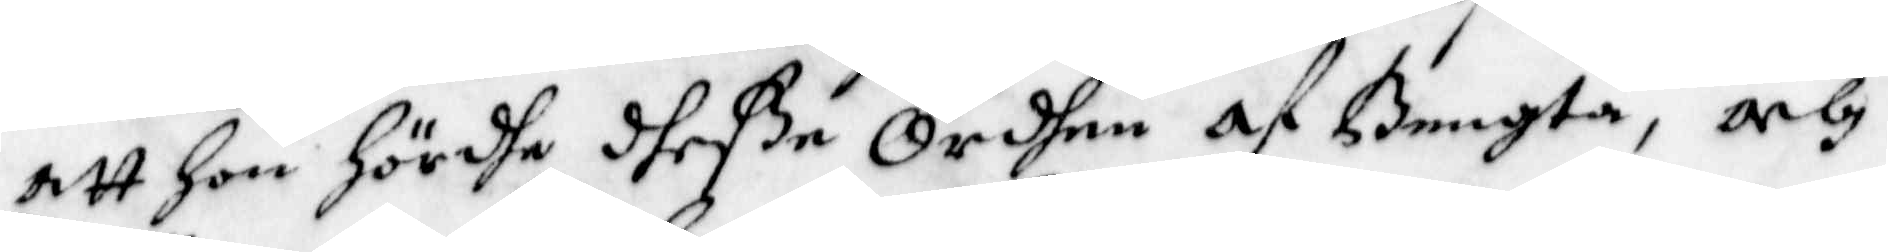att Hon hördhe dheße Ordhen af Bengta, och
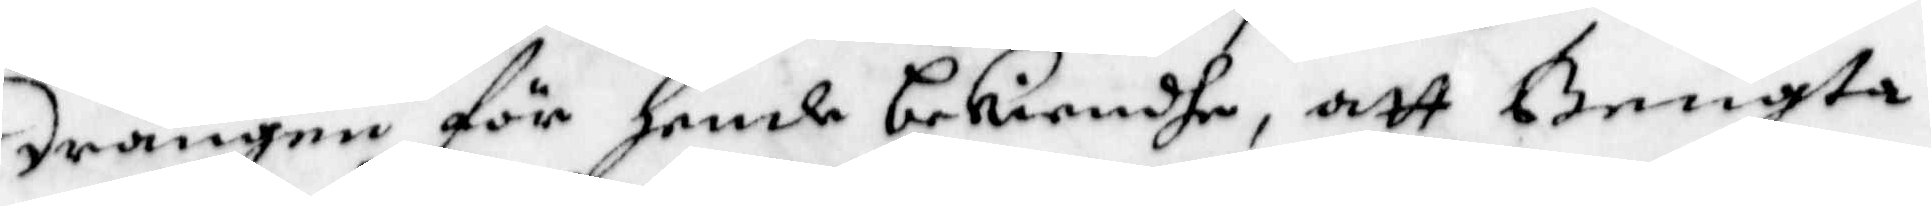drängen för hende bekiendhe, att Bengta
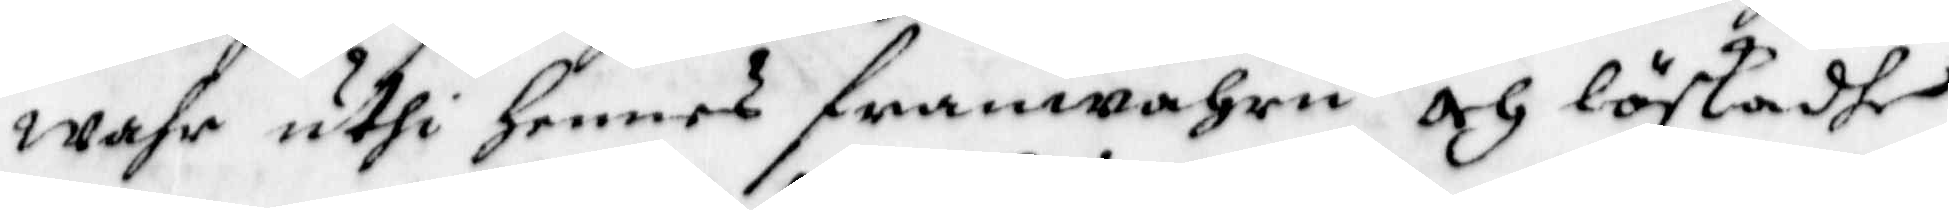wahr uthi hennes franwahru och löskadhe
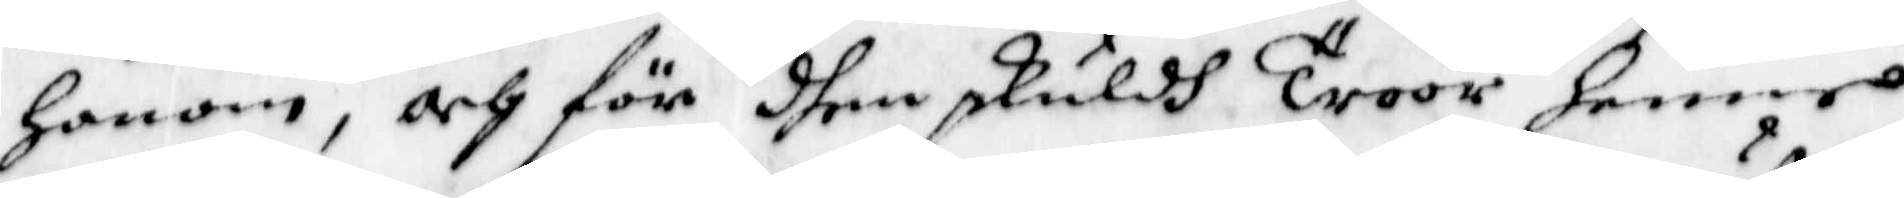honom, och för dhen skuldh Troor henne
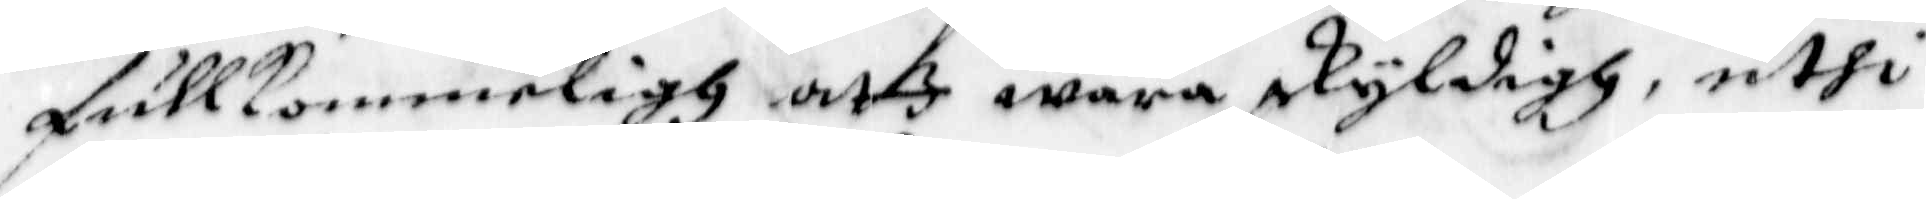fullkommeligh att wara skyldigh, uthi
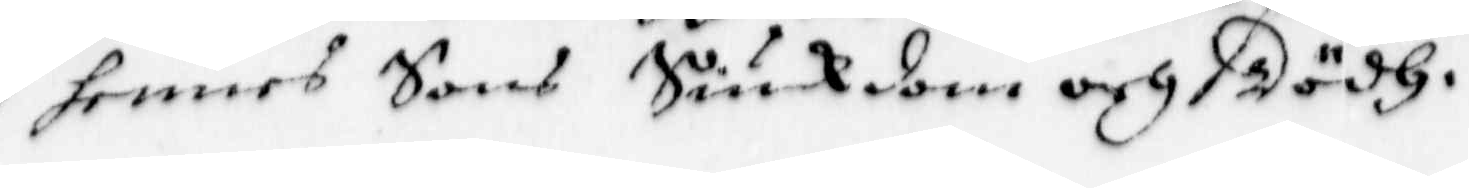hennes Sons Siukdom och Dödh.
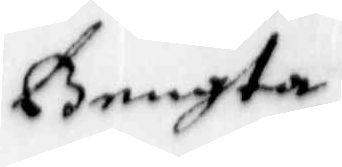Bengta
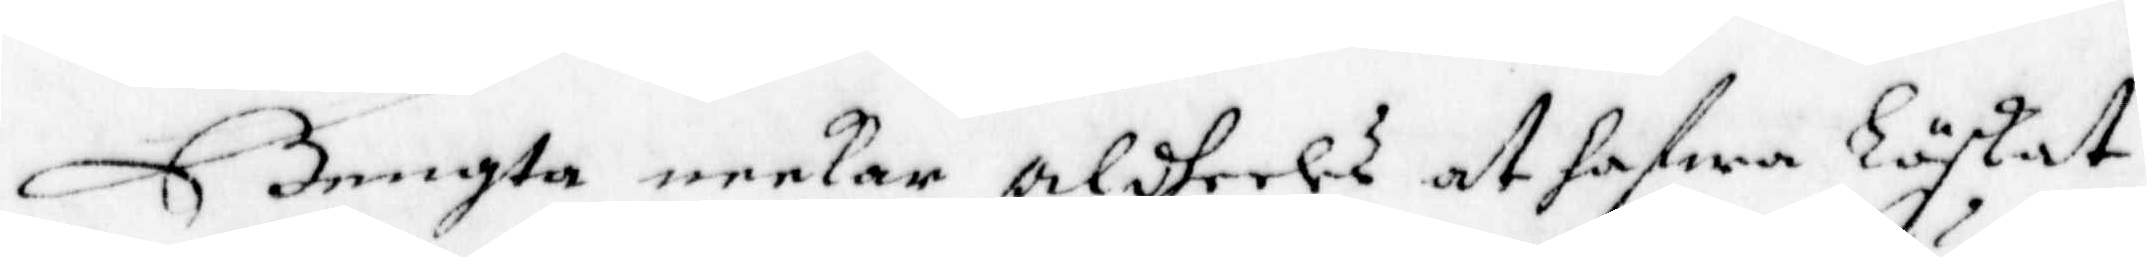Bengta neekar aldeles at hafwa Löskat
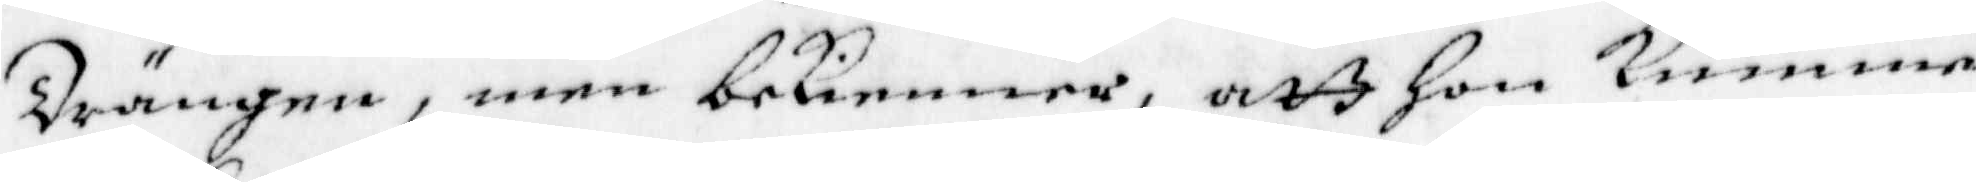Drängen, men bekienner, att Hon kunne
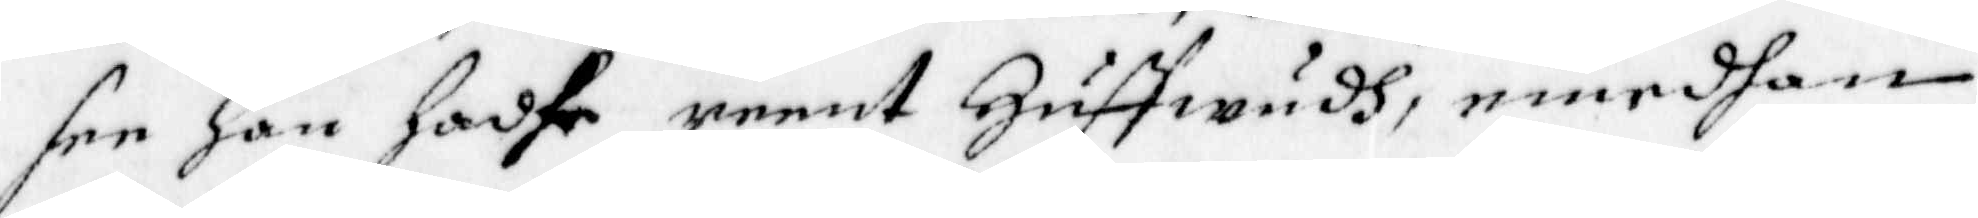see han hadhe reent Huffwudh, emedhan
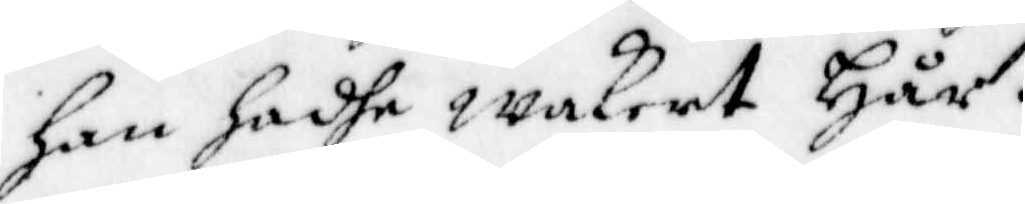han hadhe wakert Hår.
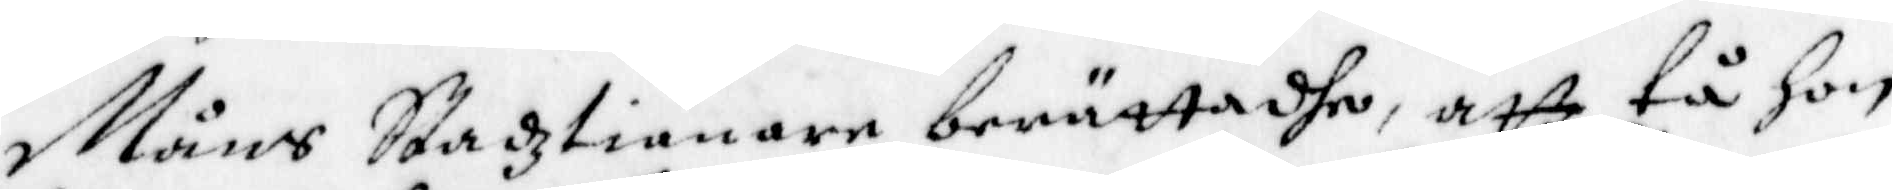Måns Stadztiänare berättadhe, att tå hon
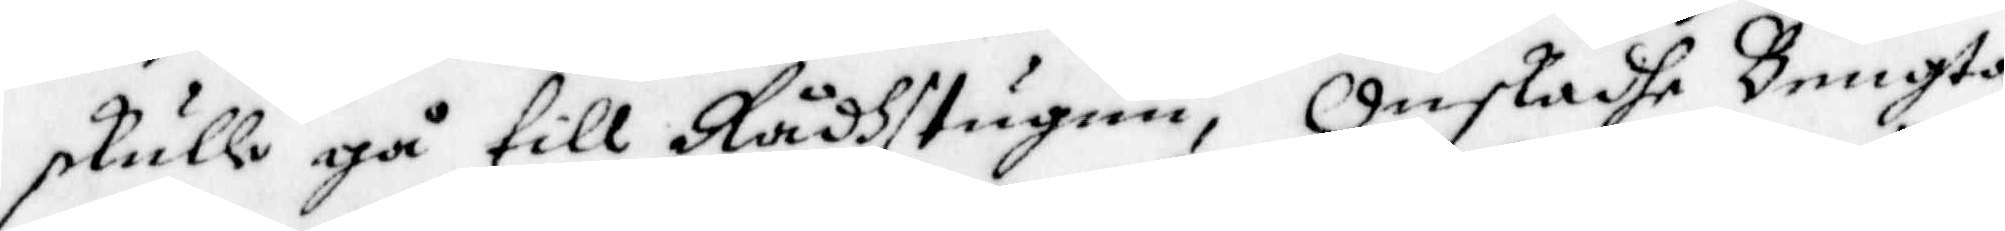skulle gå till Rådhstugun, Önskadhe Bengta
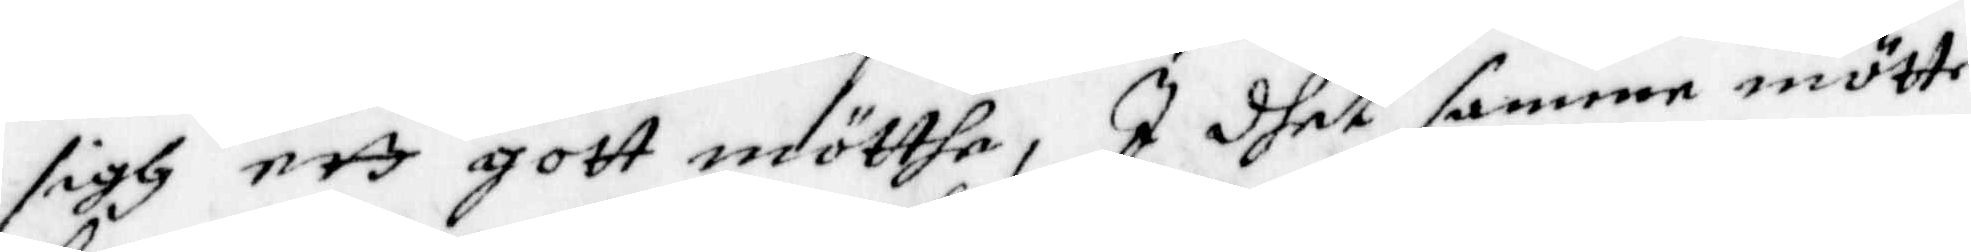sigh ett gott mötthe, I dhet samme mötte
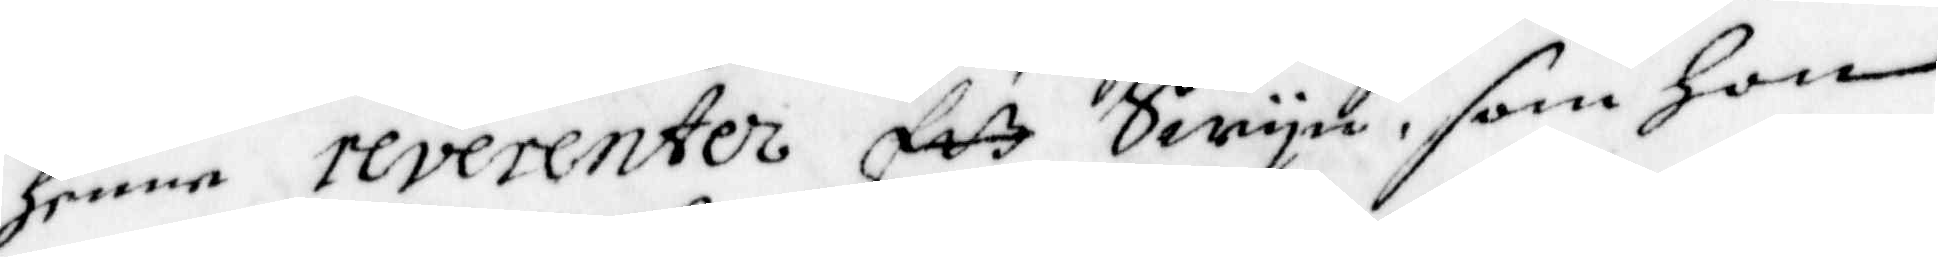henne reverenter Ett Swyn, som Hon
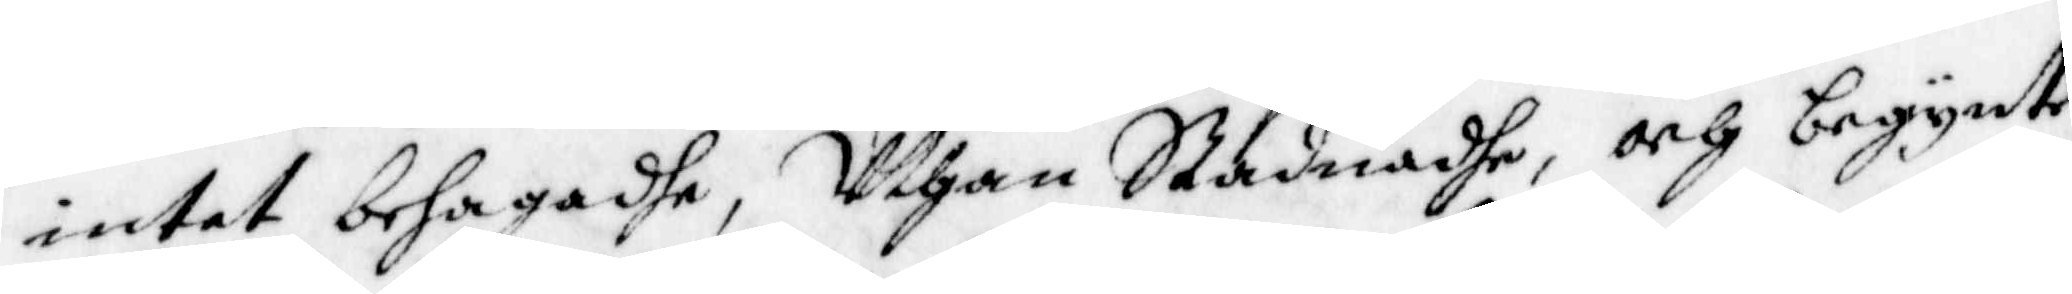intet behagadhe, Uthan Stadnadhe, och begynte
